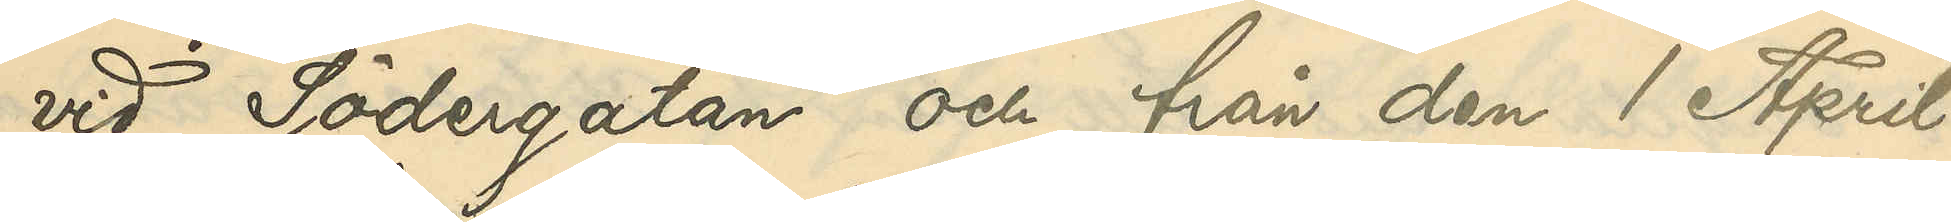vid Södergatan och från den 1 April
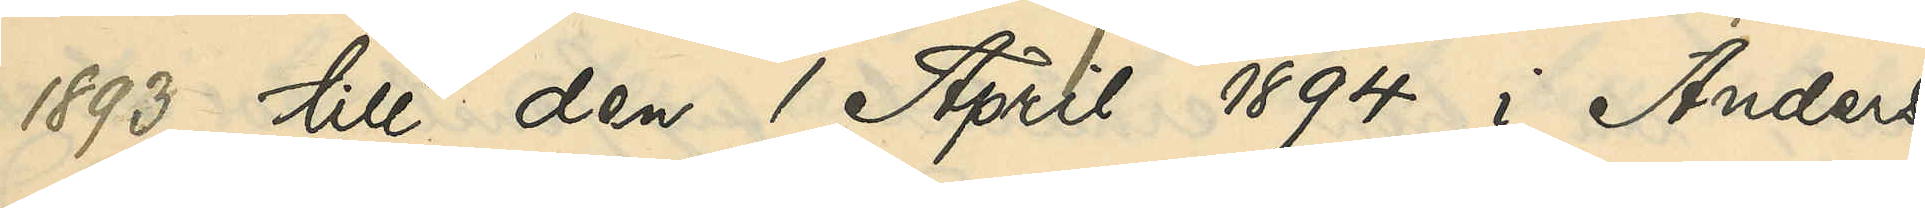1893 till den 1 April 1894 i Anders
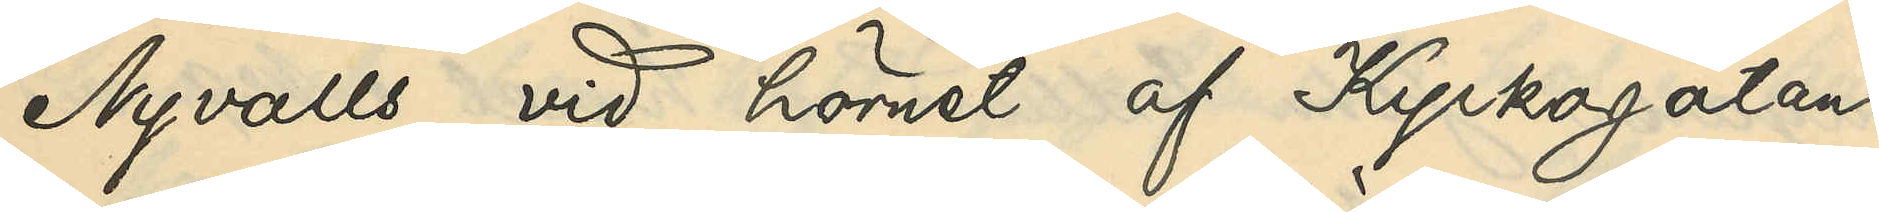Nyvalls vid hörnet af Kyrkogatan
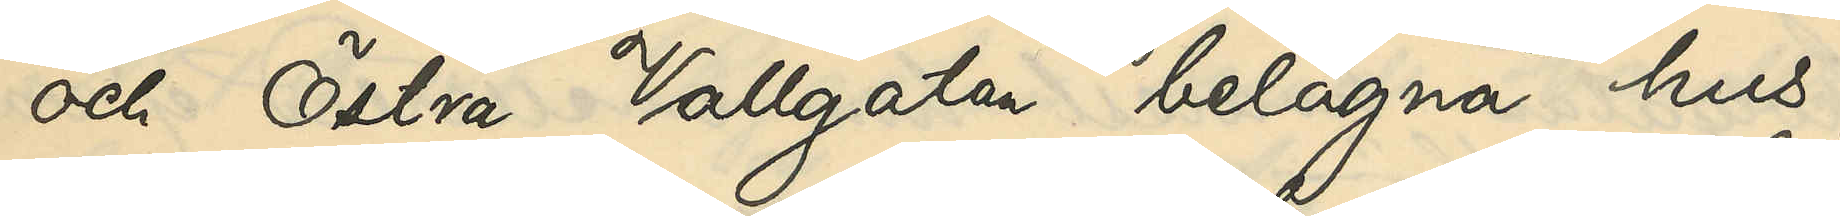och Östra Vallgatan belägna hus;
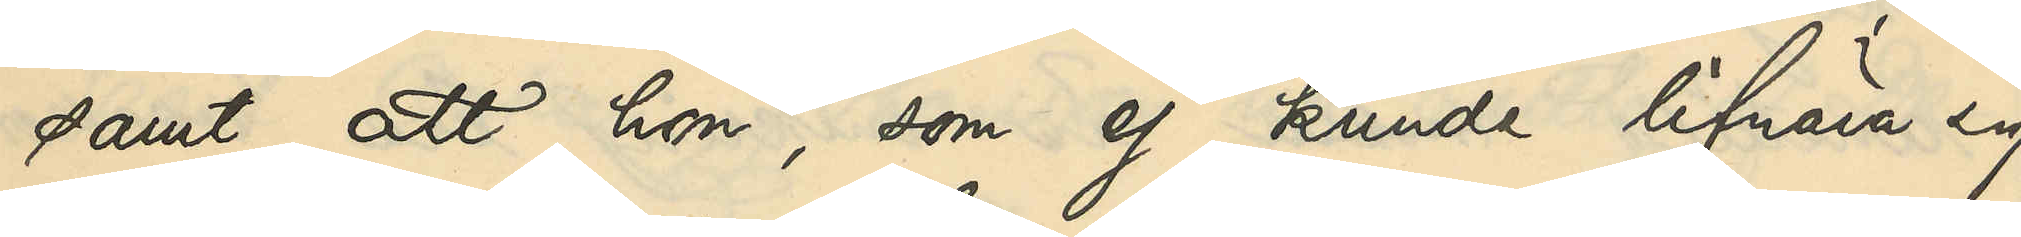samt att hon, som ej kunde lifnära sig
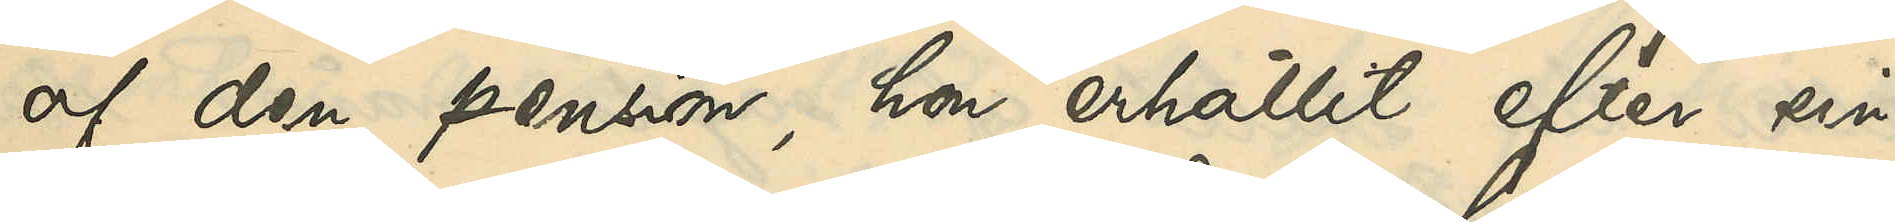af den pension, hon erhållit efter sin
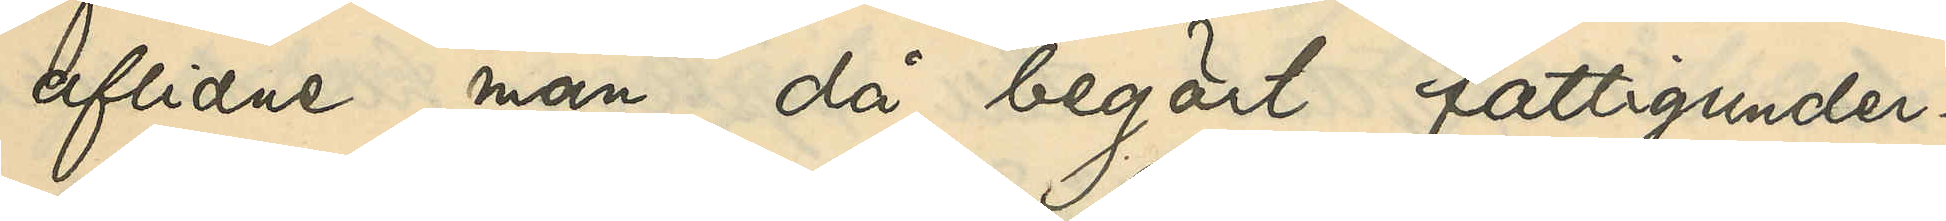aflidne man då begärt fattigunder¬
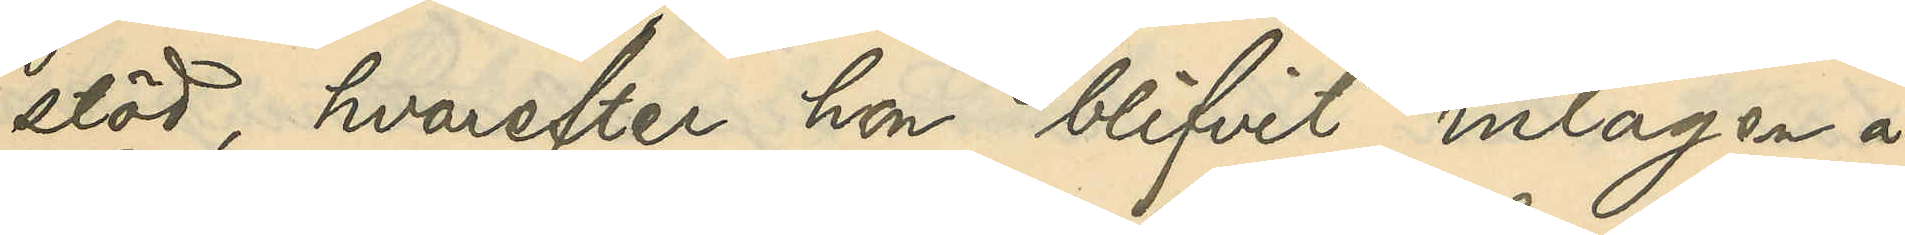stöd, hvarefter hon blifvit intagen å
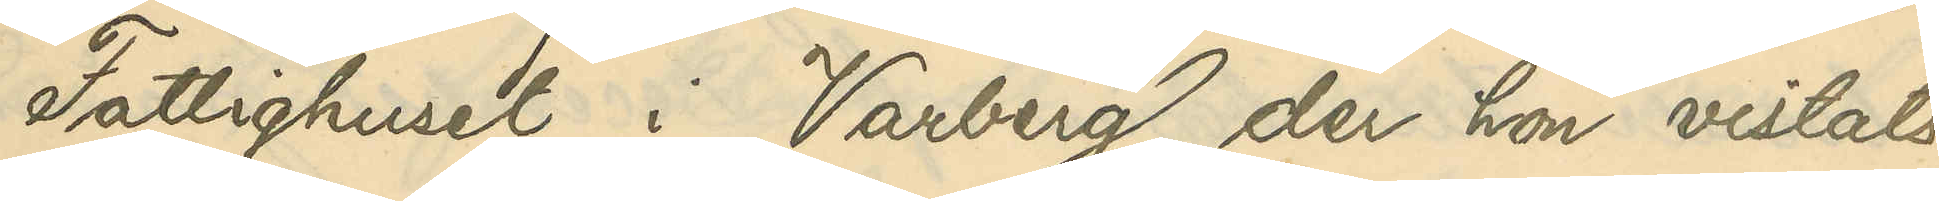Fattighuset i Varberg, der hon vistats
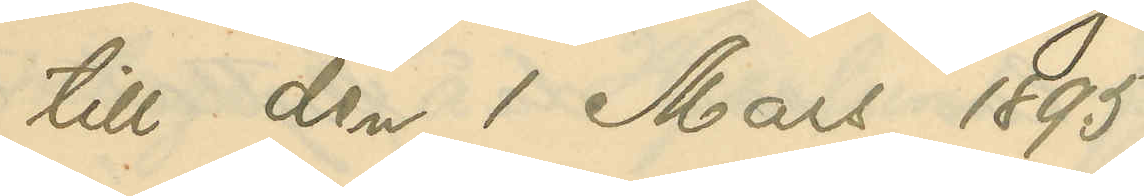till den 1 Mars 1895.
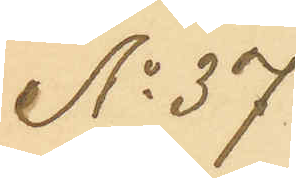No 37
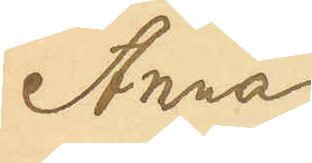Anna
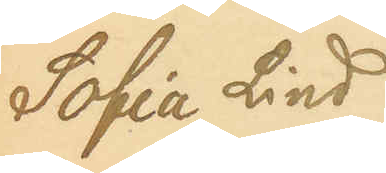Sofia Lind¬
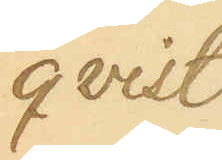qvist
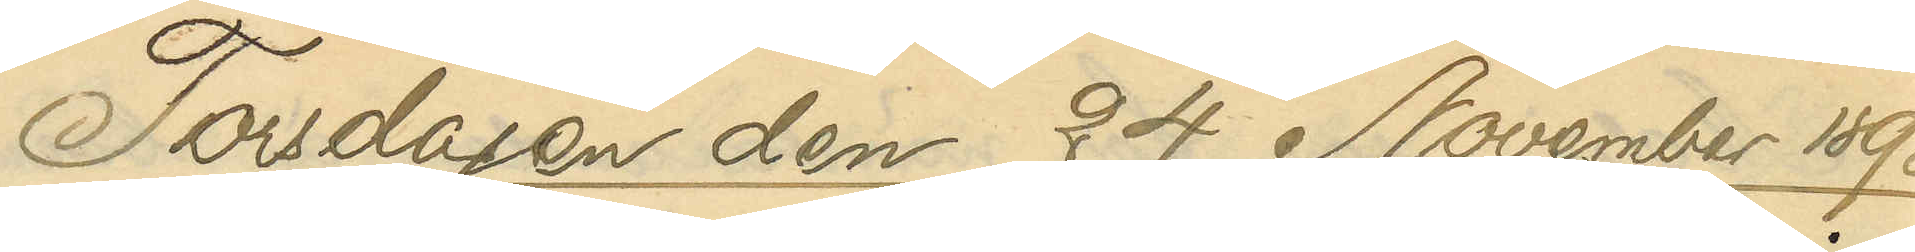Torsdagen den 24 November 1898
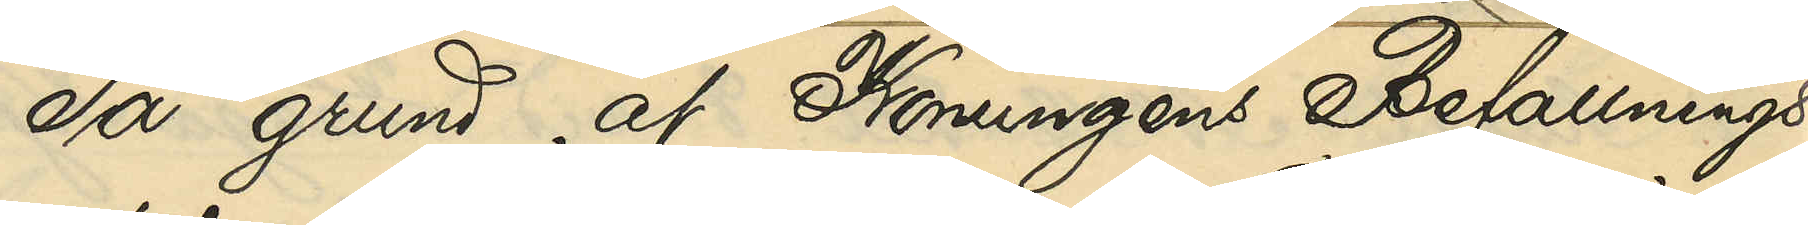På grund af Konungens Befallnings¬
